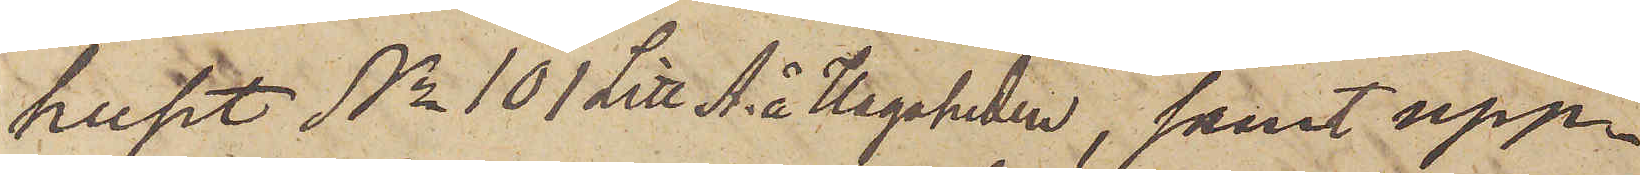huset No 101 Litt A. å Hagaheden, samt upp¬
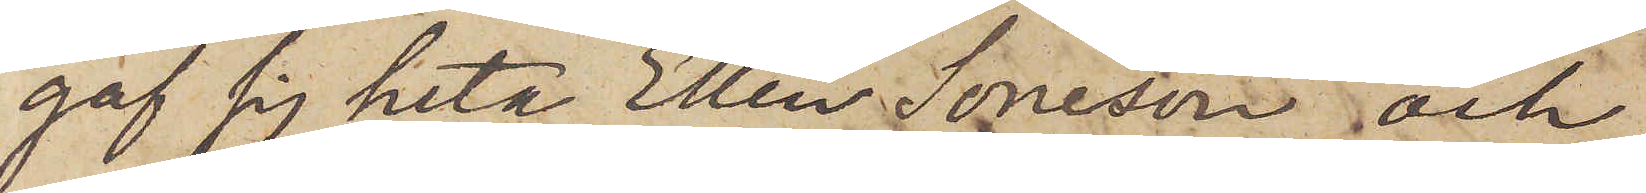gaf sig heta Ellen Soneson och
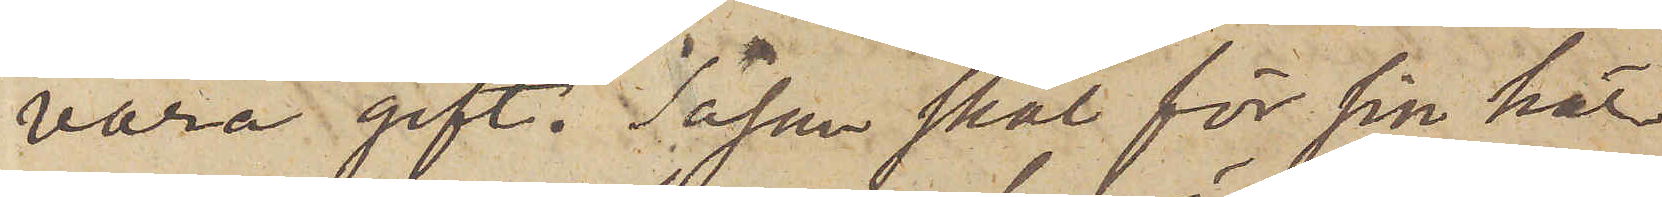vara gift. Såsom skäl för sin här
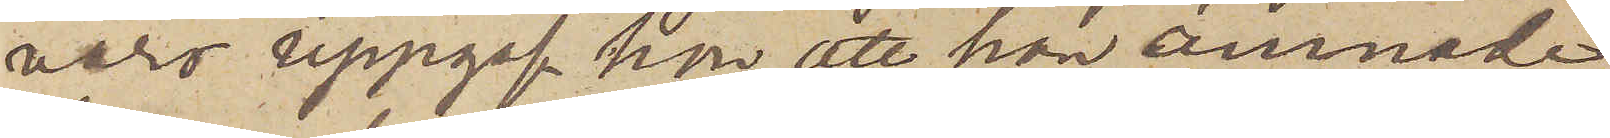varo uppgaf hon, att hon ämnade
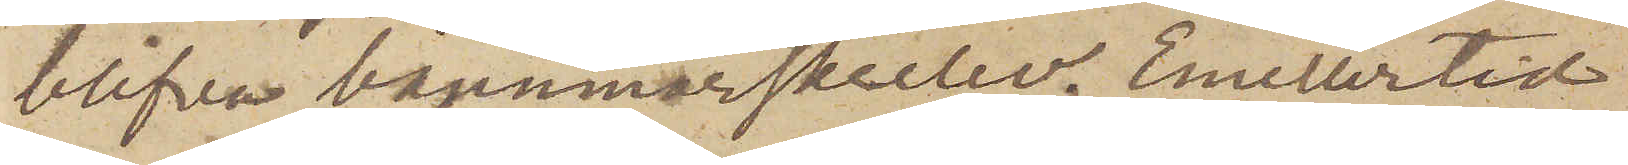blifva barnmorskeelev. Emellertid
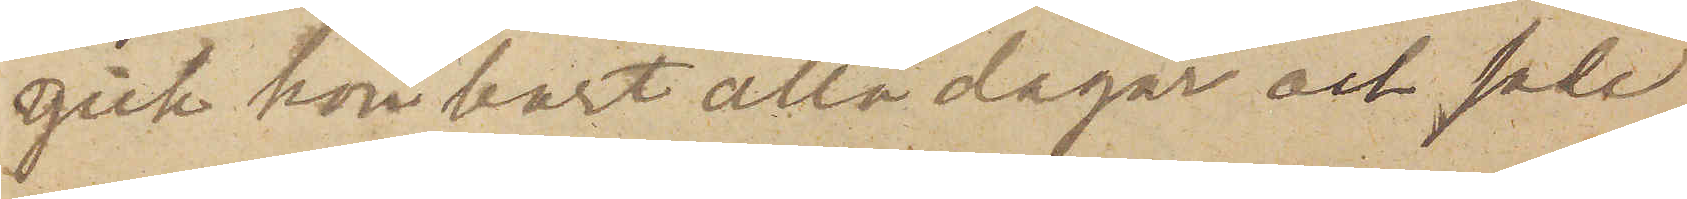gick hon bort alla dagar och sade
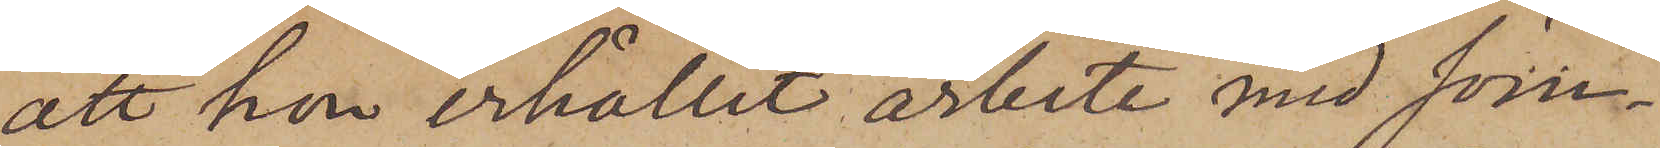att hon erhållit arbete med söm¬
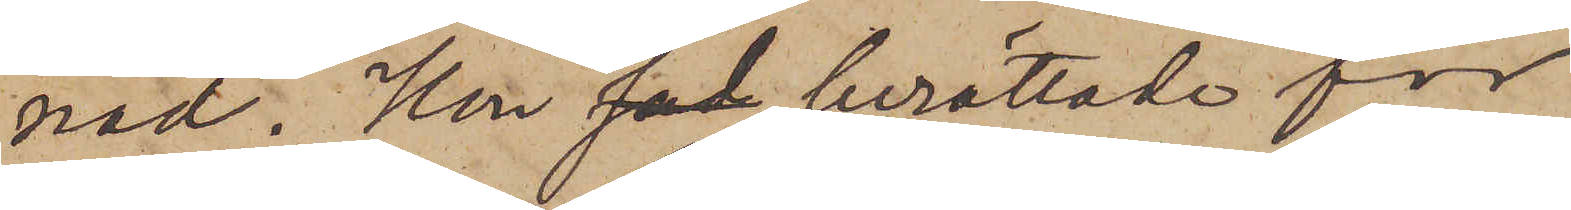nad. Hon berättade för
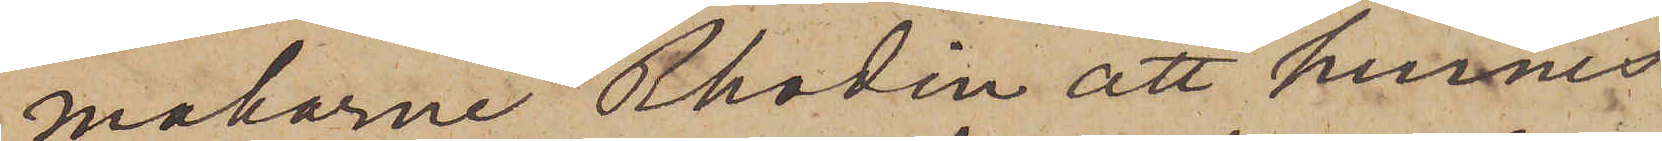makarne Rhodin att hennes
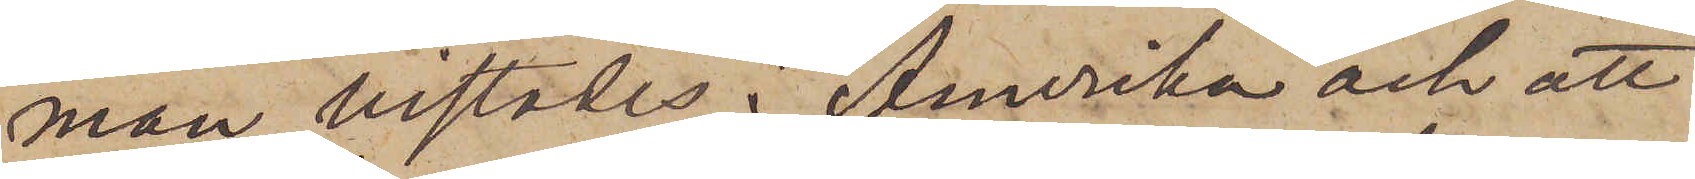man vistades i Amerika och att
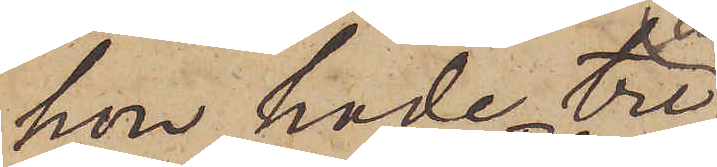hon hade tre
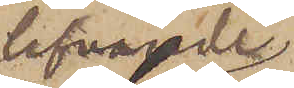lefvande
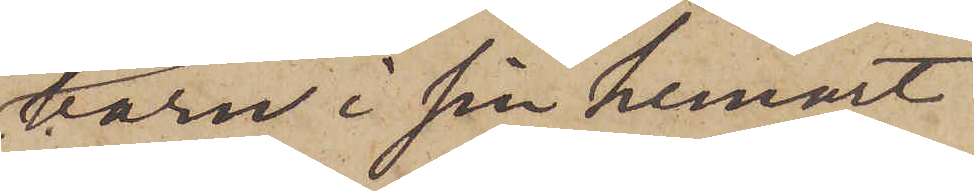barn i sin hemort
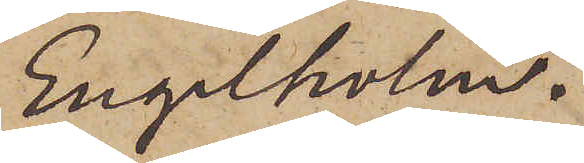Engelholm.
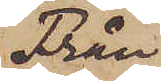Från
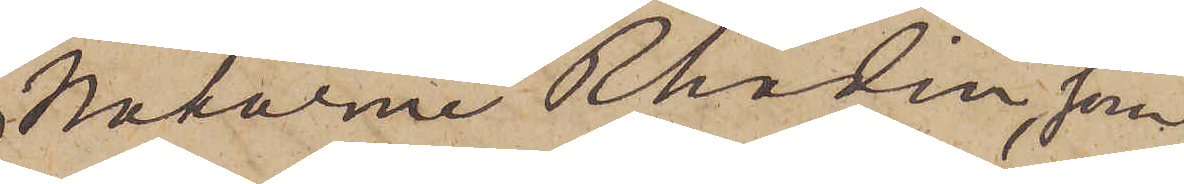makarne Rhodin, som
